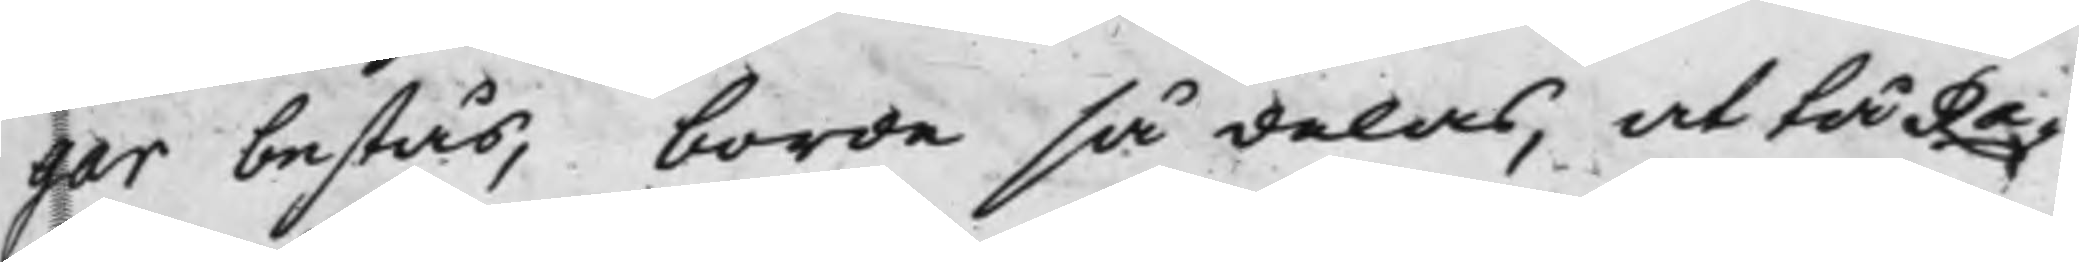gar bestås, borde så delas, at tå Ra¬
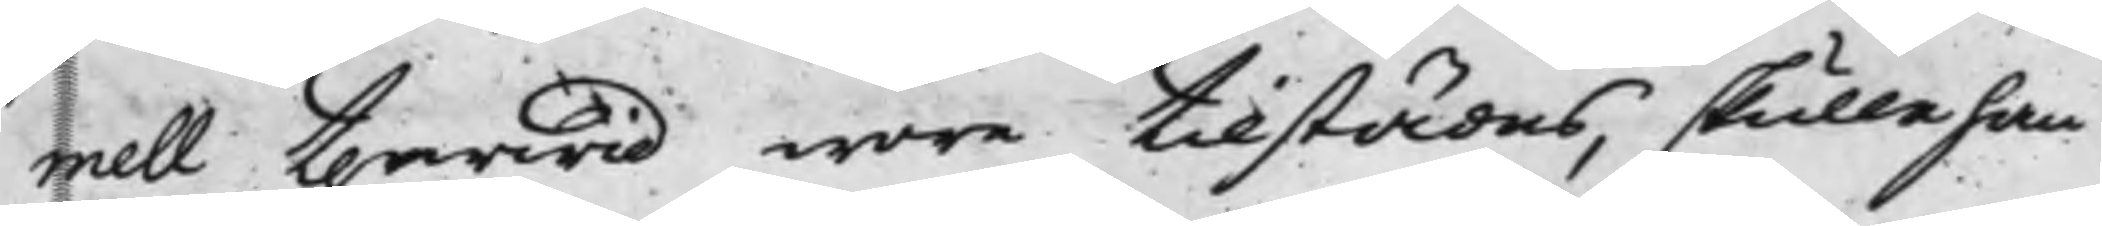mell therwid wore tilstädes, skulle han
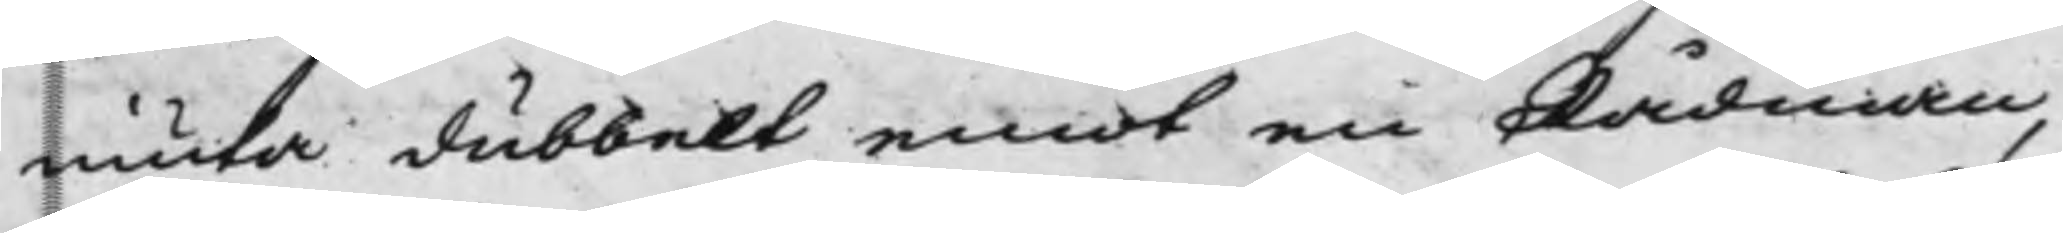niuta dubbelt emot en Rådman,
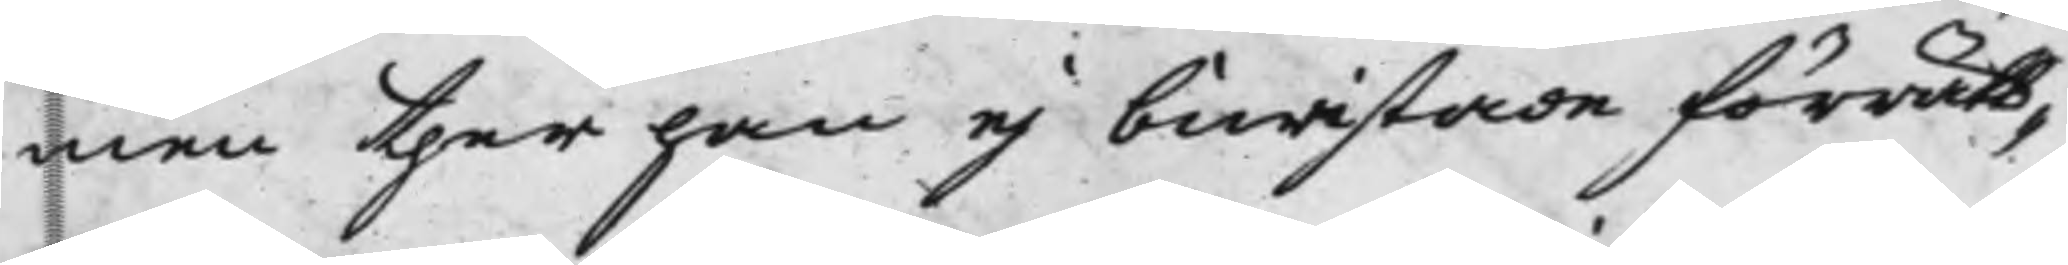men ther han ej biwistade förrätt¬
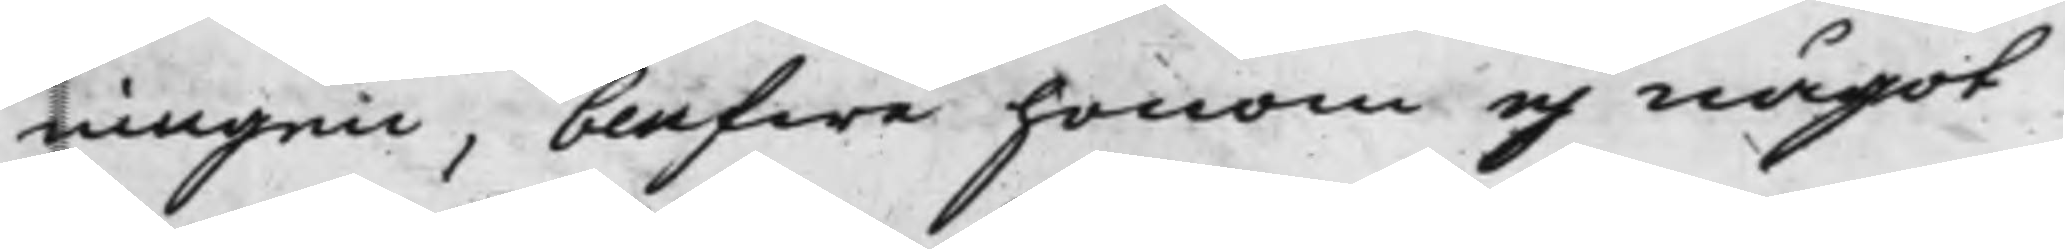ningen, blefwe honom ej något
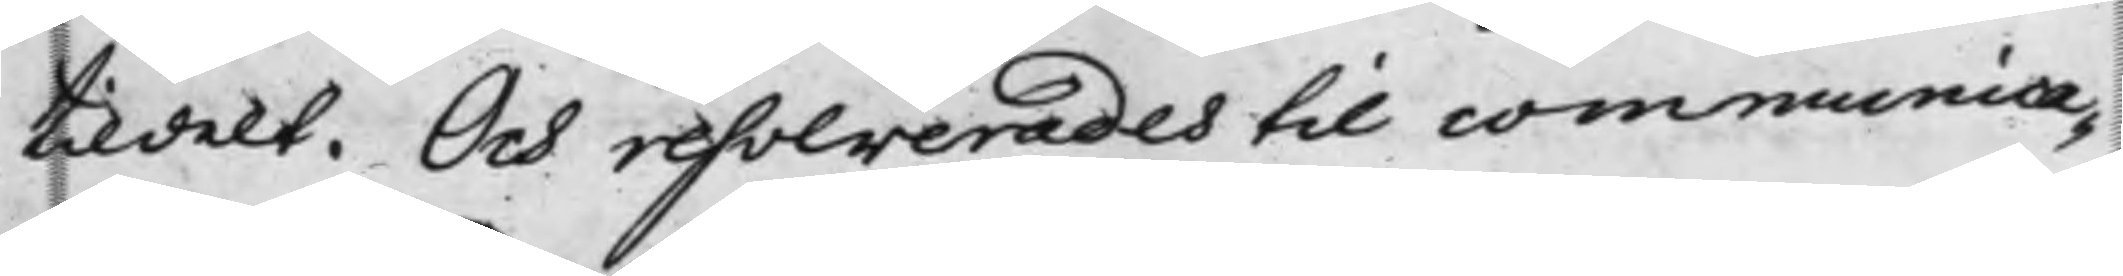tildelt. Och resolverades till communica¬
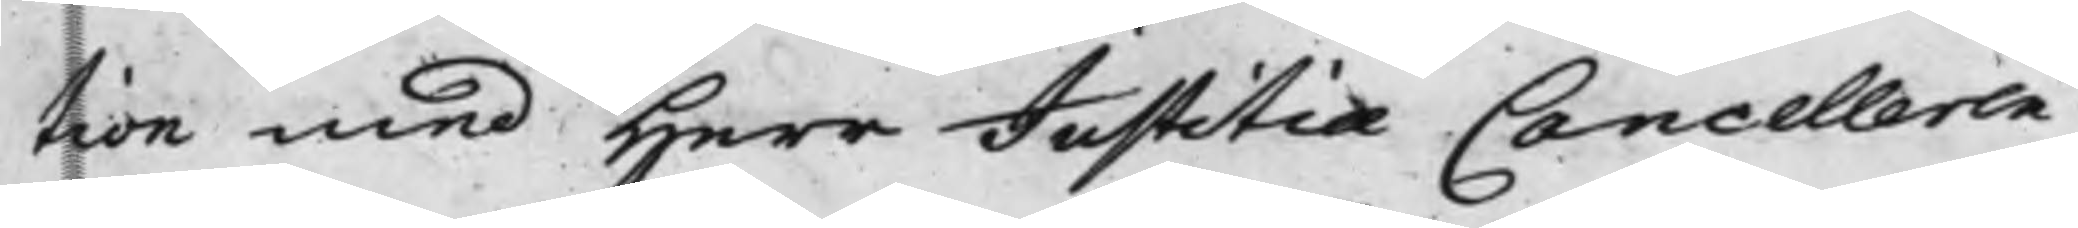tion med Herr Justitiæ Cancelleren
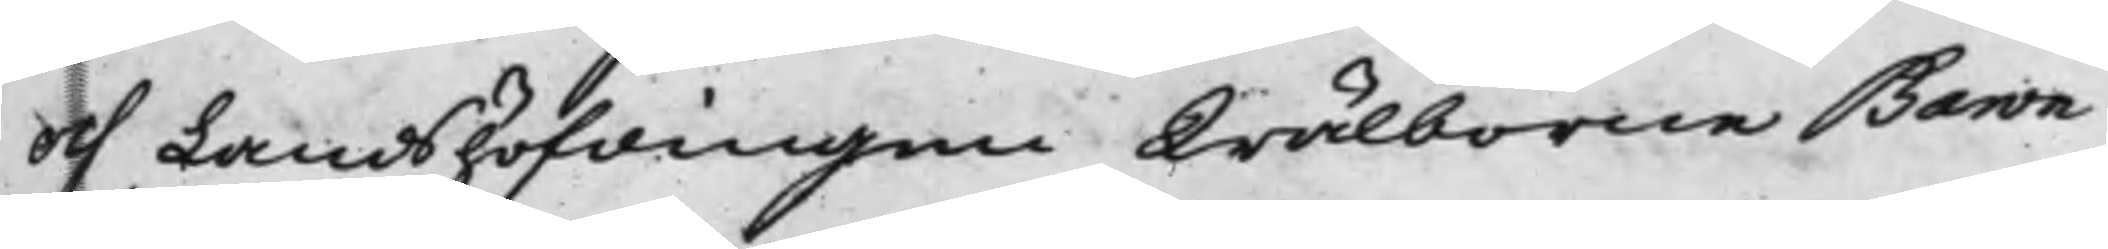och Landshöfdingen Wälborne Baron
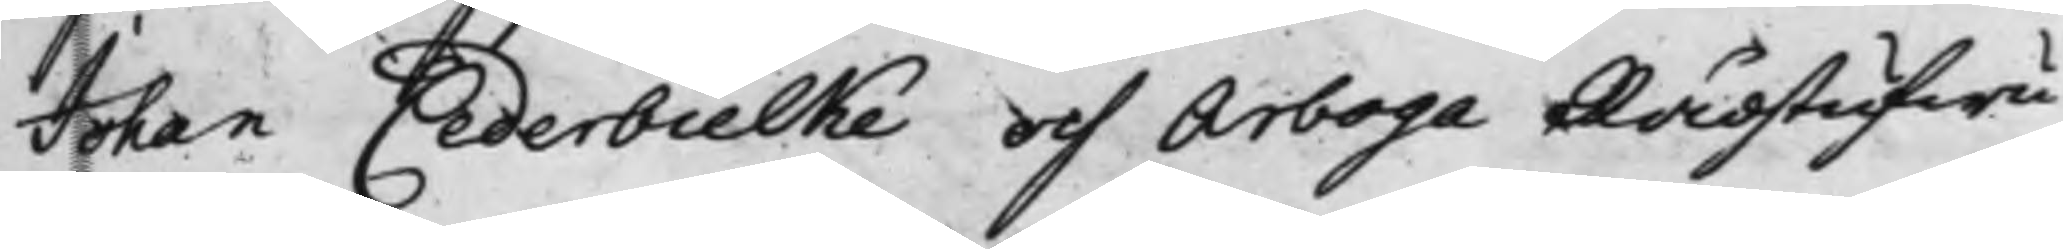Johan Cederbielke och Arboga Rådstufwu¬
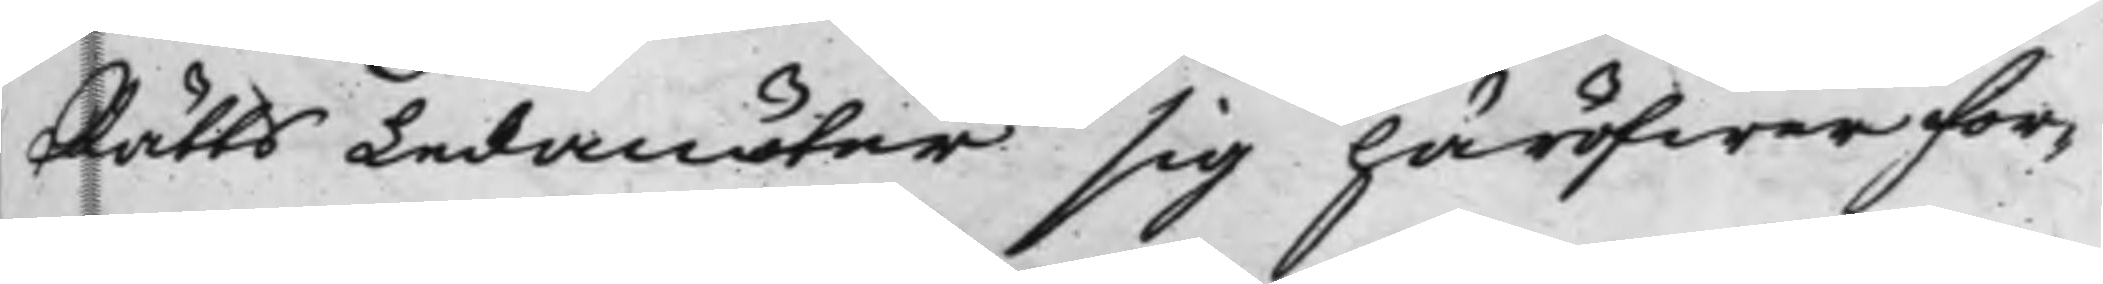Rätts Ledamöter sig häröfwer for¬
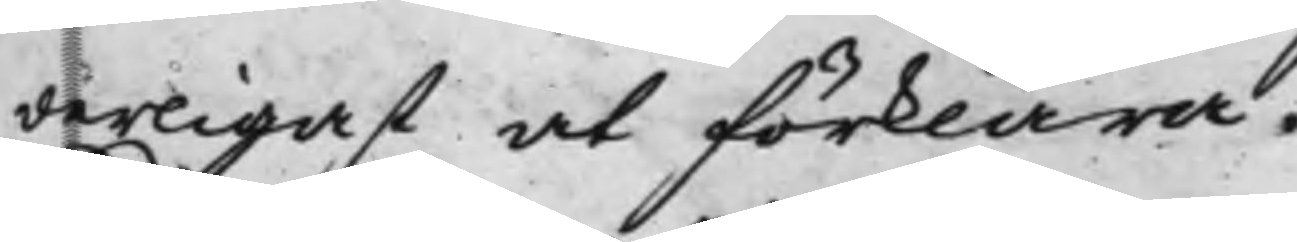derligast at förklara.
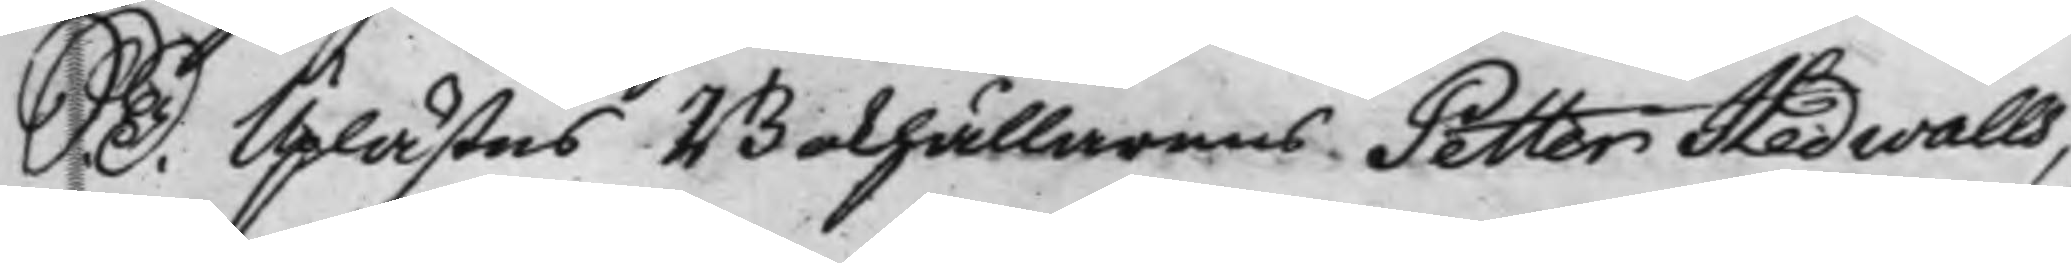S. D. Uplästes Bokhållarens Petter Hedwalls,
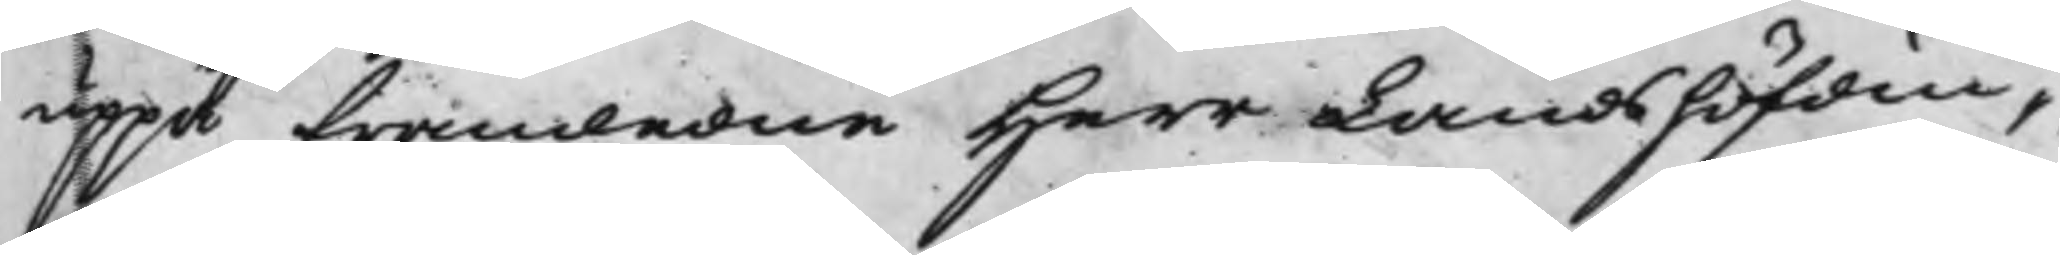uppå framledne Herr Landshöfdin¬
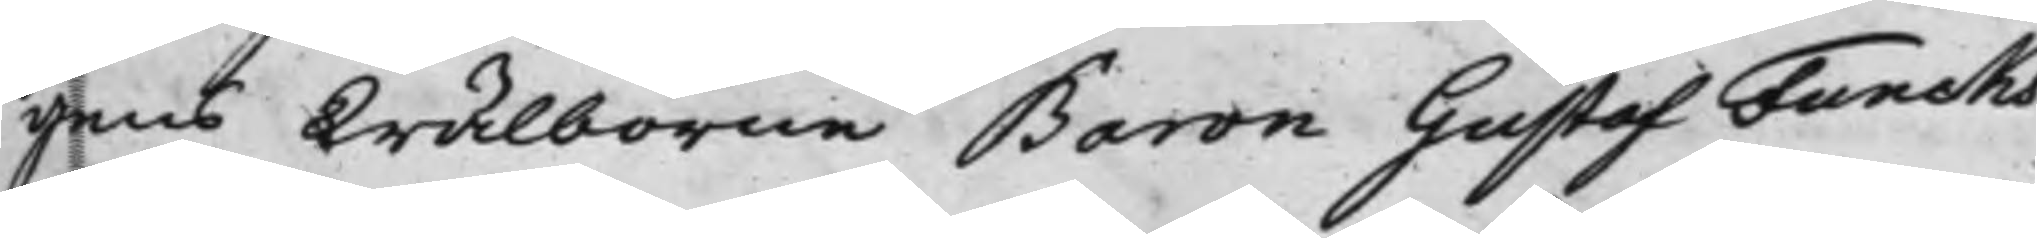gens Wälborne Baron Gustaf Funcks
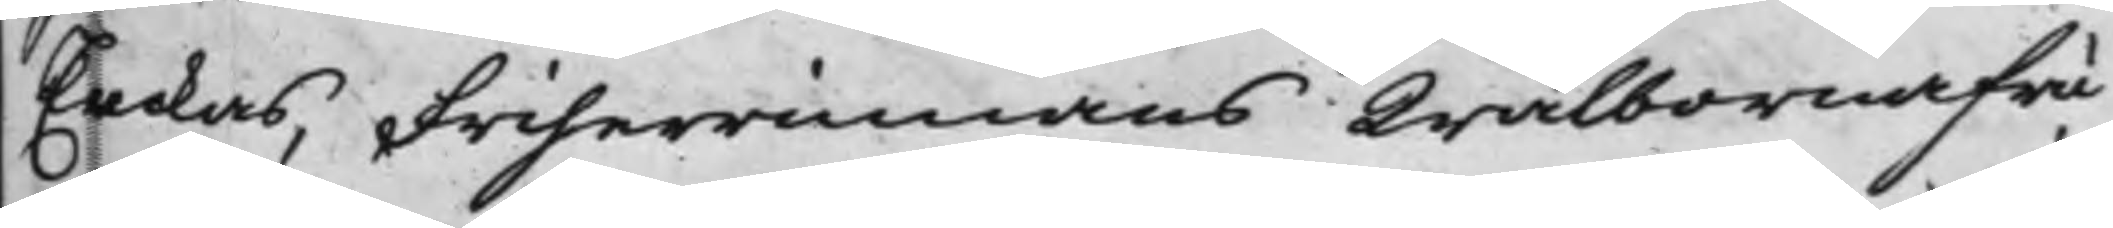Enckas, Friherrinnans Wälborna fru
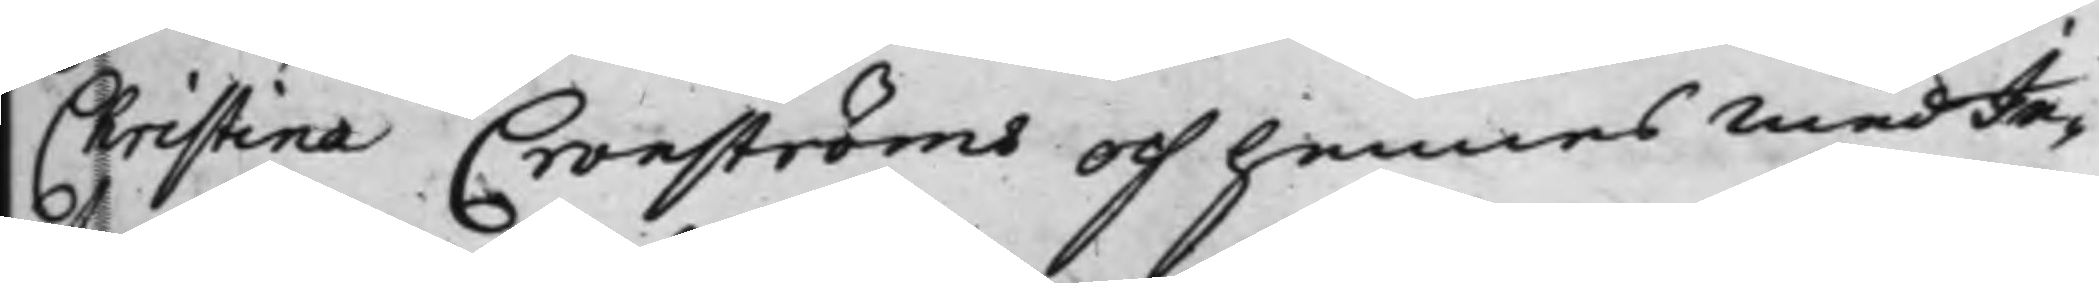Christina Cronströms och hennes medIn¬
